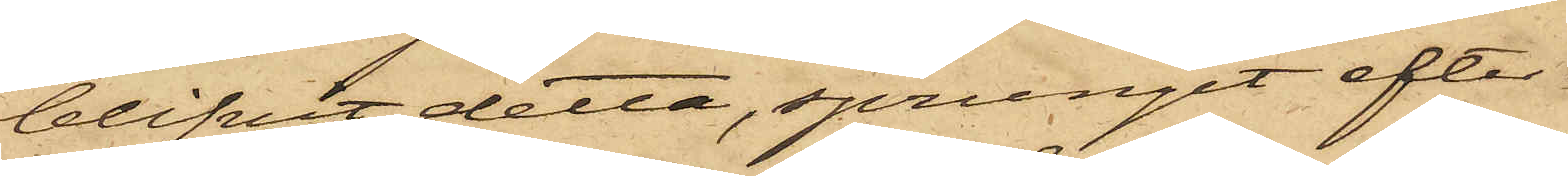blifvit detta, sprungit efter
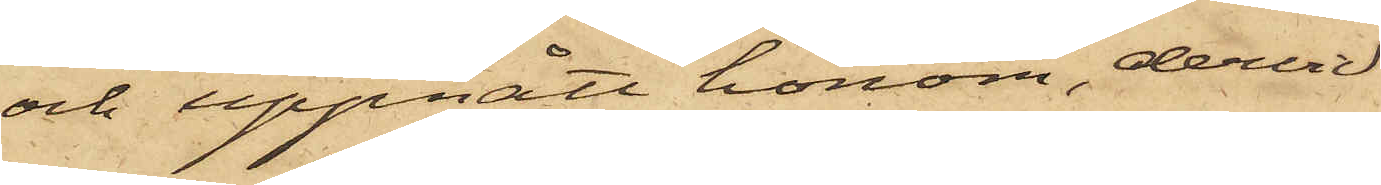och uppnått honom, dervid
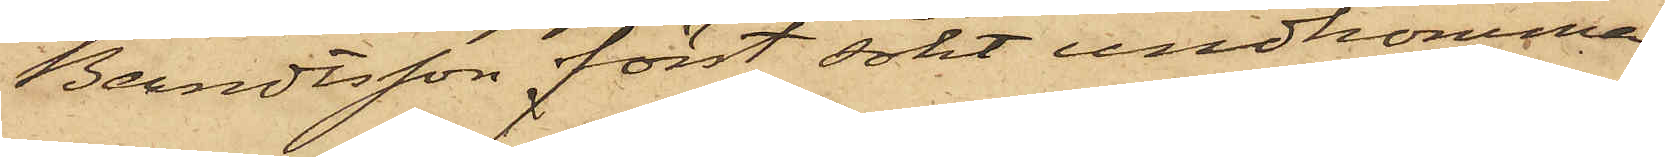Berndtsson först sökt undkomma,
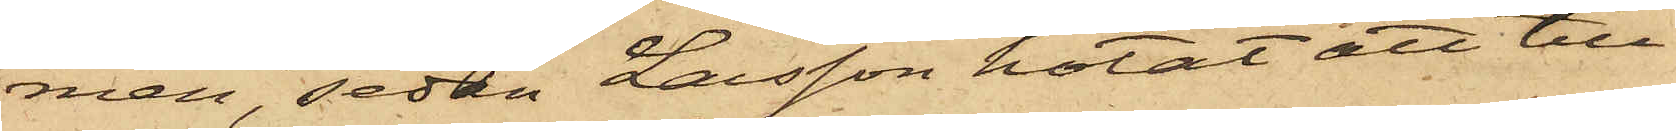men sedan Larsson hotat att till¬
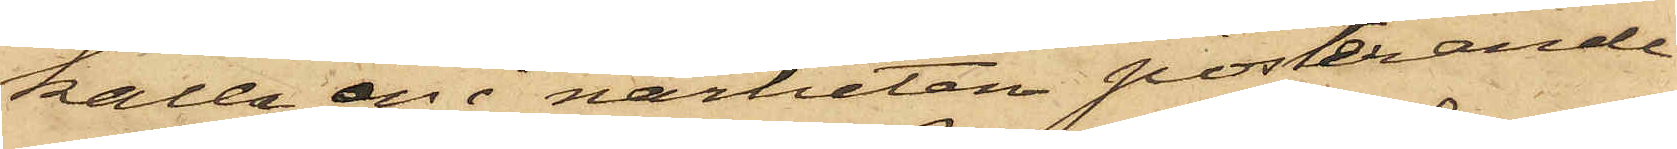kalla en i närheten posterande
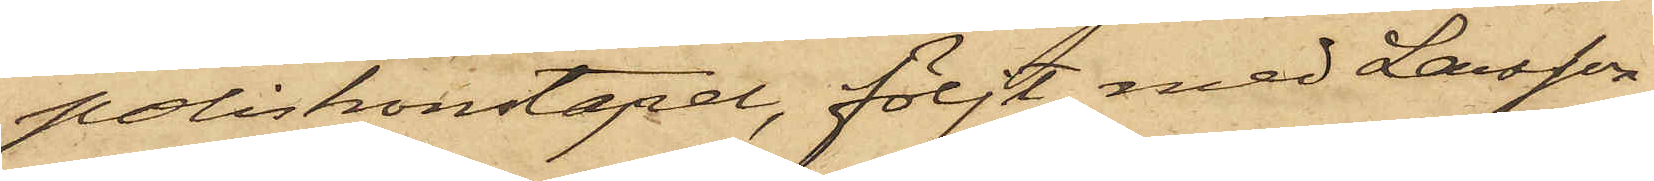poliskonstapel, följt med Larsson
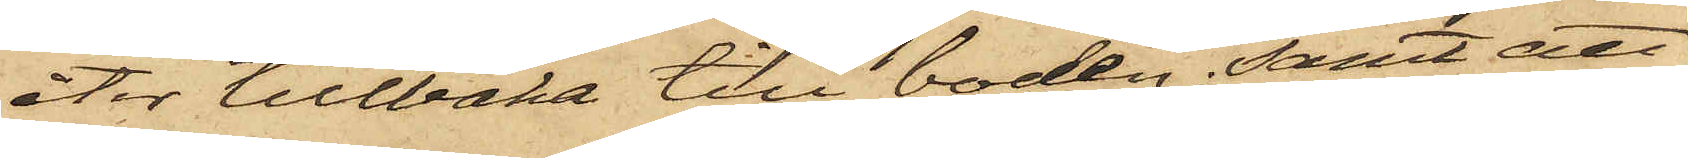åter tillbaka till boden; samt att
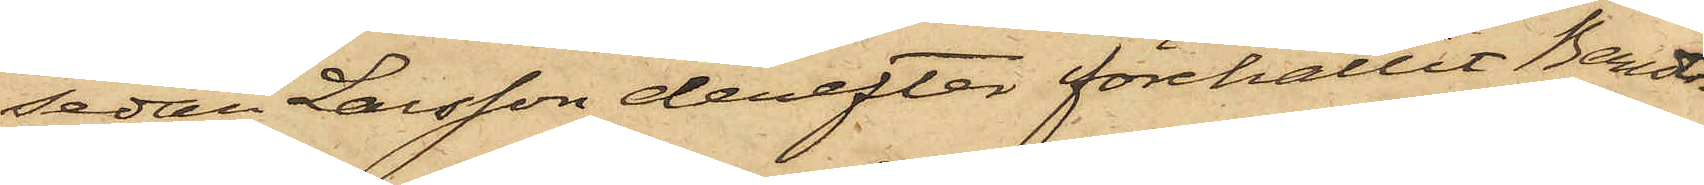sedan Larsson derefter förehållit Berndts¬
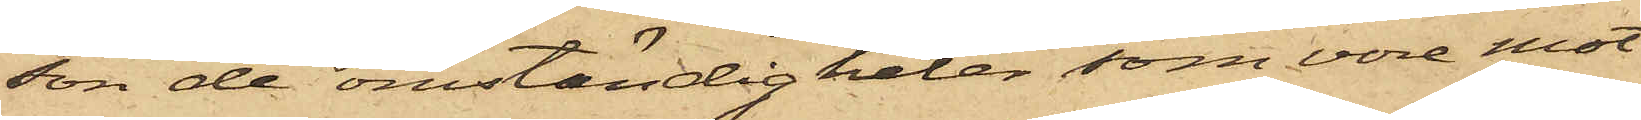son de omständigheter, som vore mot
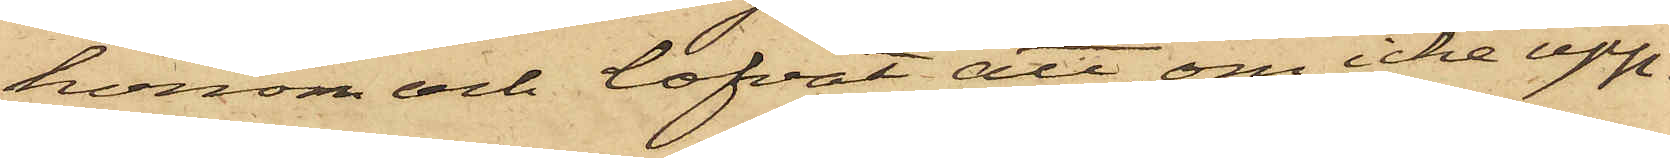honom och lofvat att, om icke upp¬
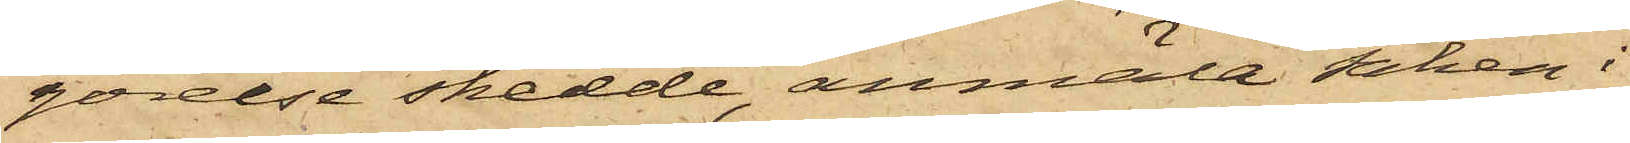görelse skedde, anmäla saken i
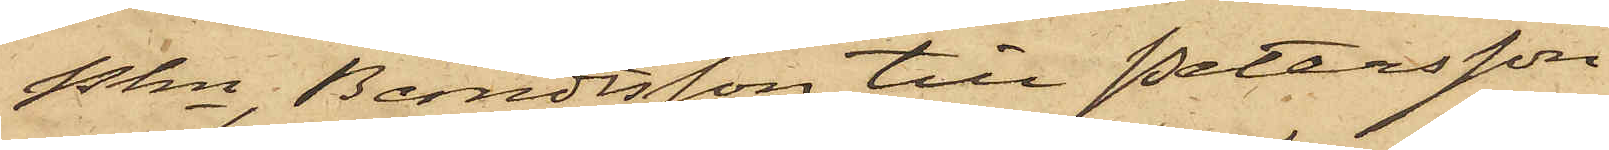Pkn, Berndtsson till Petersson
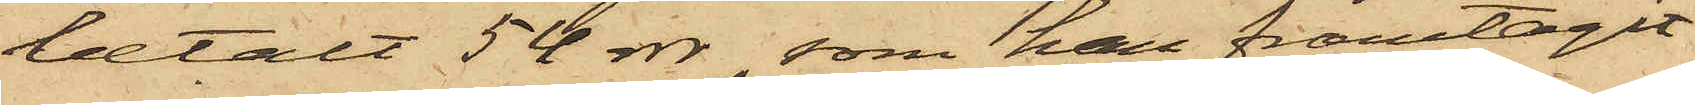betalt 54 rdr, som har framtagit
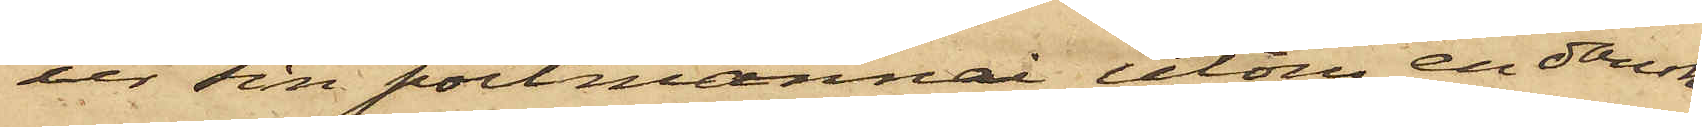ur sin portmonnai utom en dansk
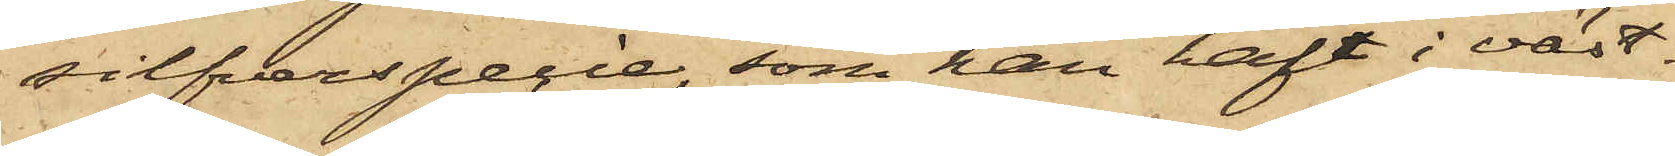silfverspecie, som han haft i väst¬
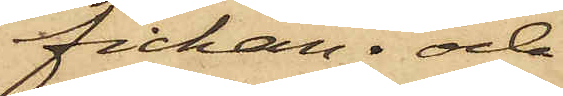fickan; och
